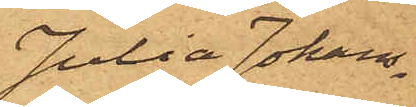Julia Johans¬
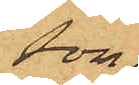son.
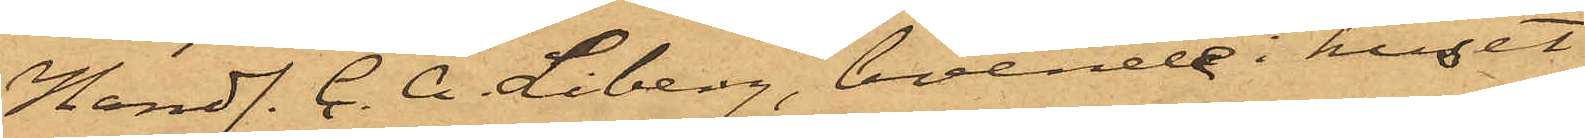Handl. C. A. Liberg, boende i huset
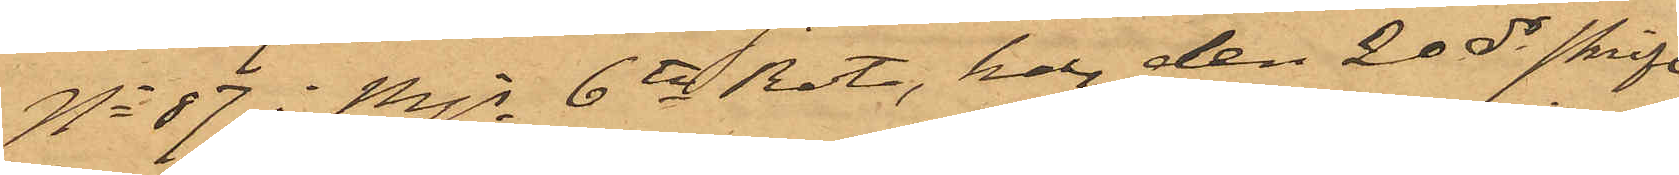No 87 i Mjs 6te Rote, har den 20 ds skrift¬
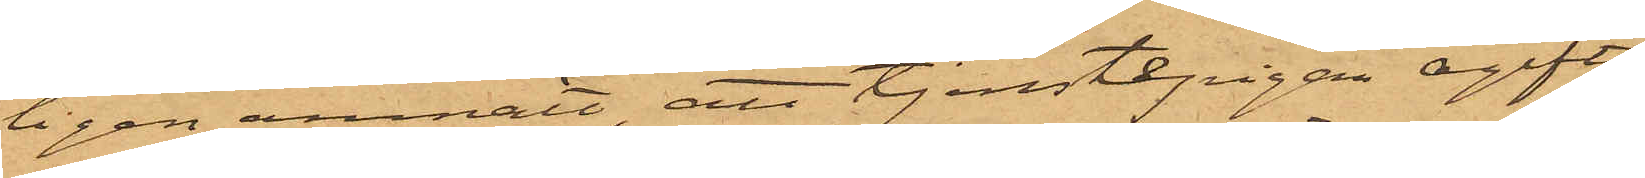ligen anmält, att tjenstepigan ogifta
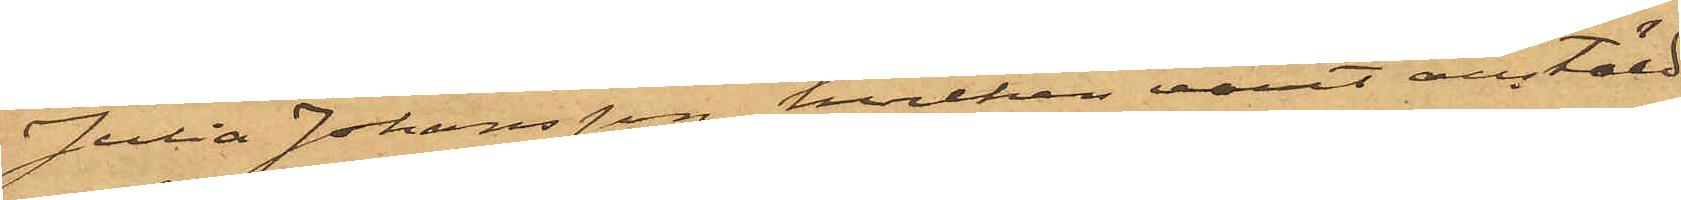Julia Johansson, hvilken varit anstäld
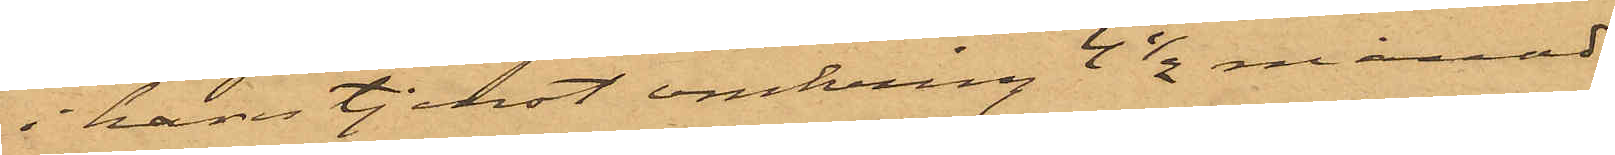i hans tjenst omkring 4½ månad
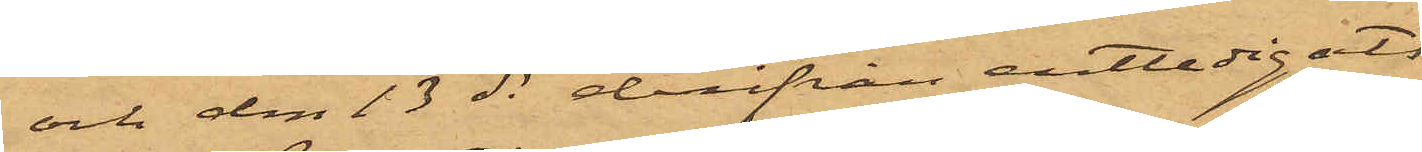och den 13 ds derifrån entledigats,
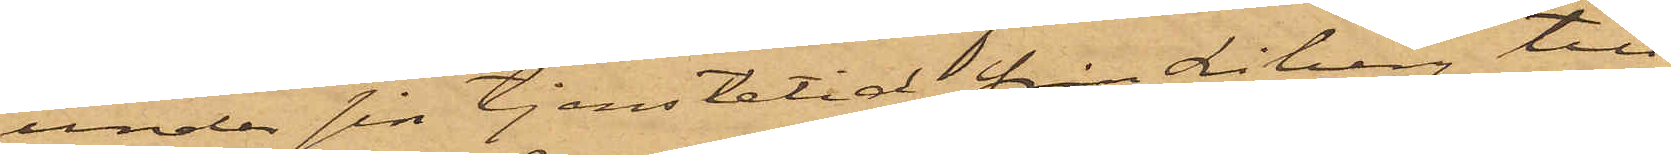under sin tjenstetid från Liberg till¬
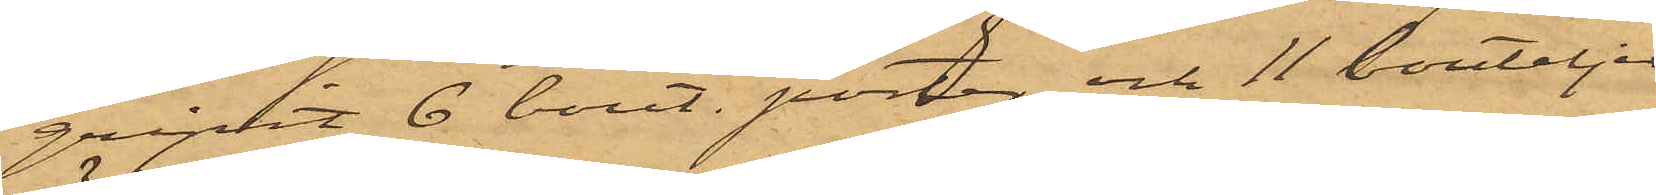gripit 6 bout. porter och 11 bouteljer
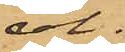öl.
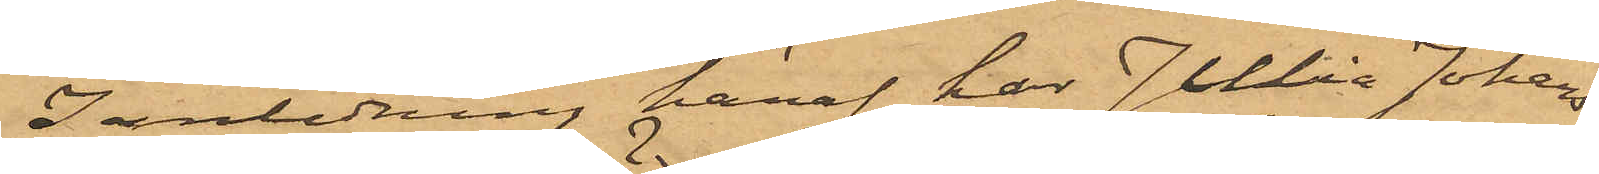I anledning häraf har Julia Johans¬
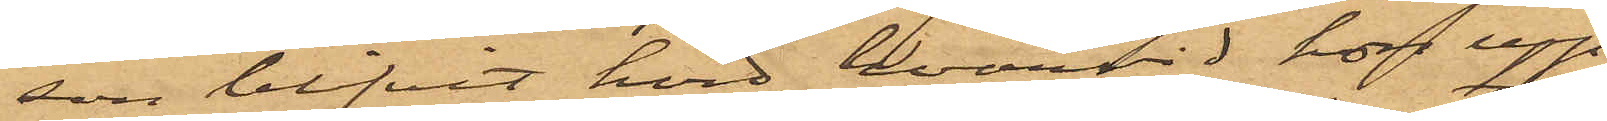son blfvit hörd, hvarvid hon upp¬
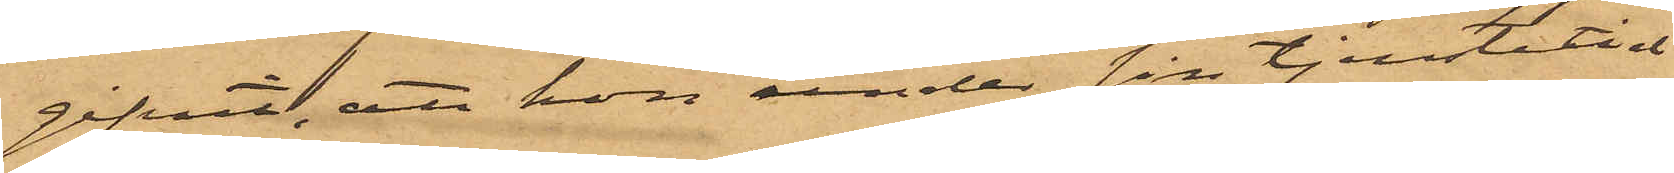gifvit, att hon under sin tjenstetid
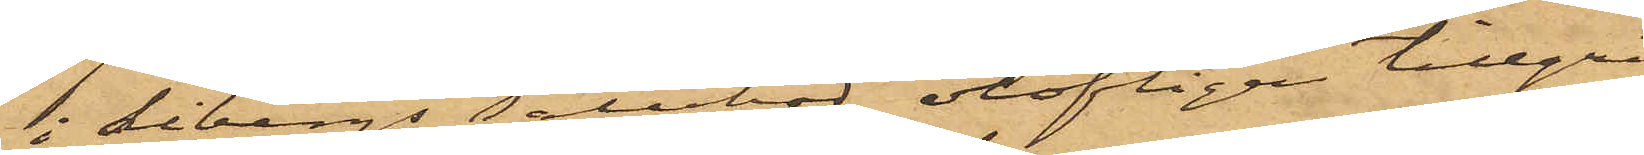i Libergs salubod olofligen tillgri¬
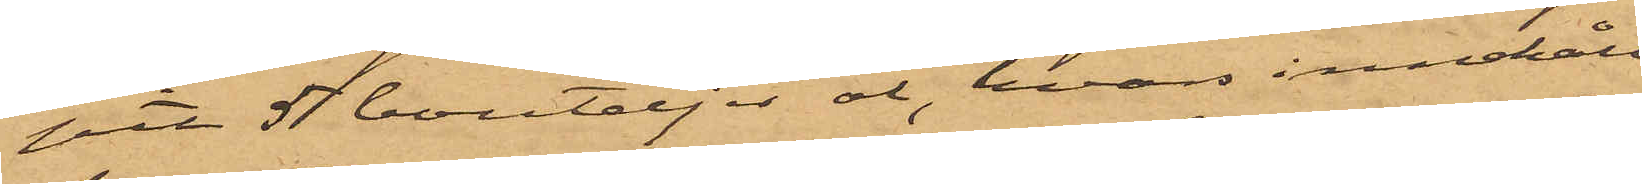pit 51 bouteljer öl, hvars innehåll
